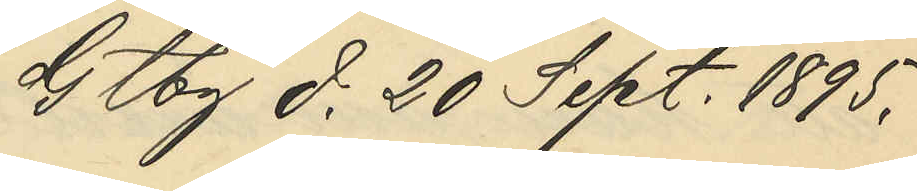Gtbg d. 20 Sept. 1895.
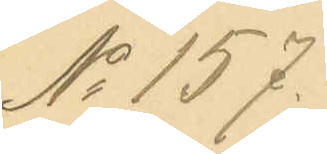No 157.
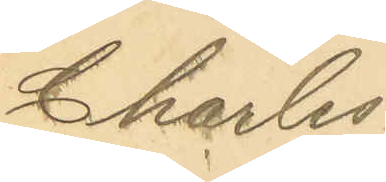Charles¬
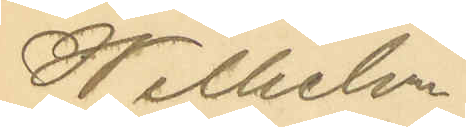Wilhelm
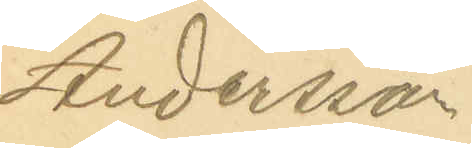Andersson.
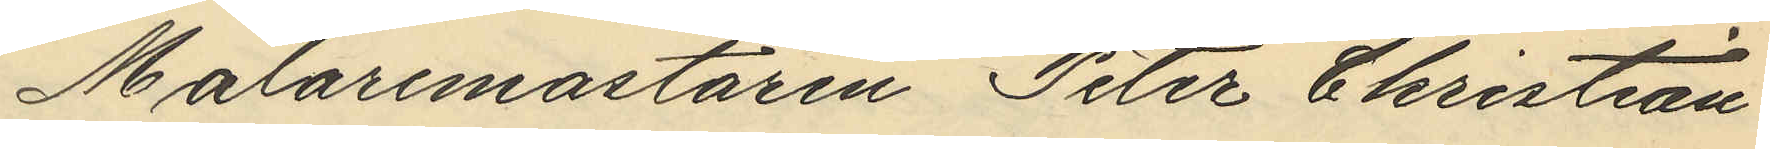Målaremästaren Peter Christian
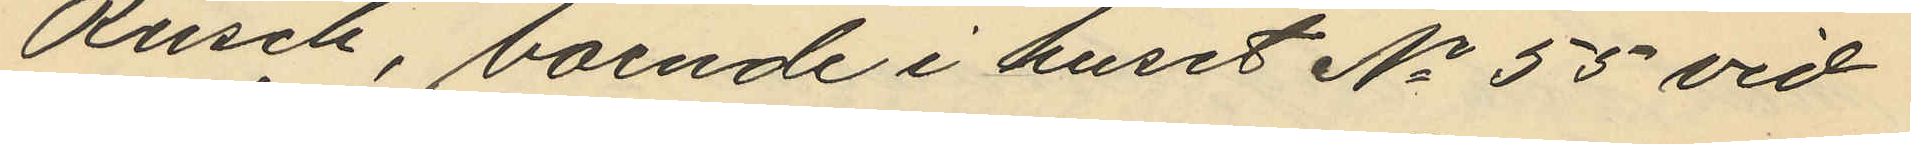Rusch, boende i huset No 55 vid
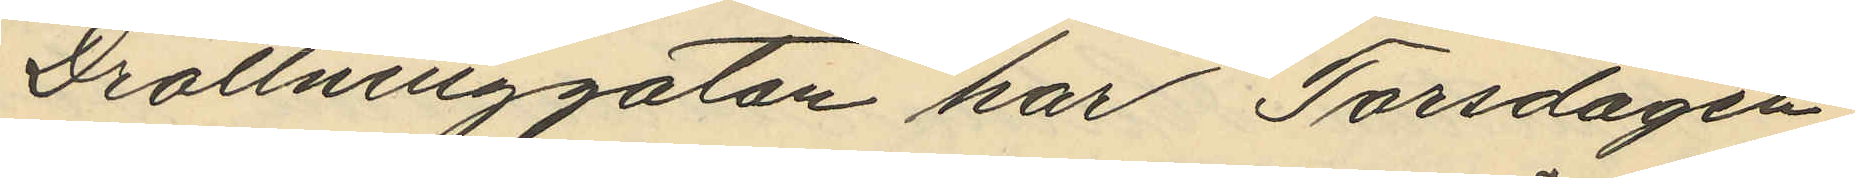Drottninggatan har Torsdagen
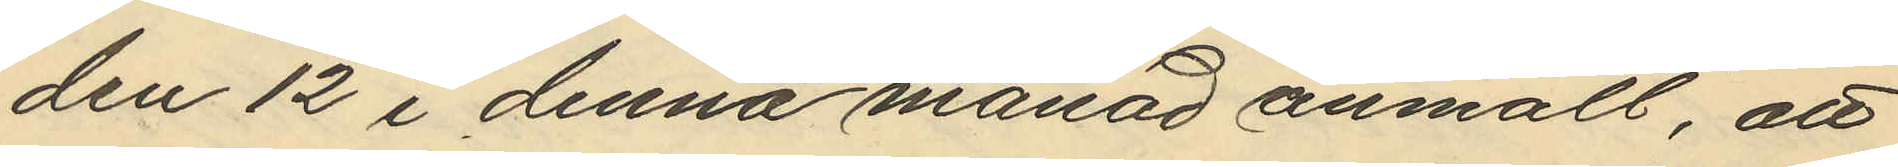den 12 i denna månad anmält, att
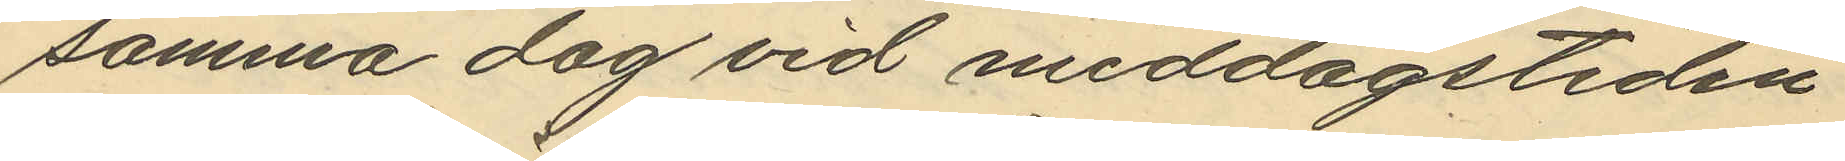samma dag vid middagstiden
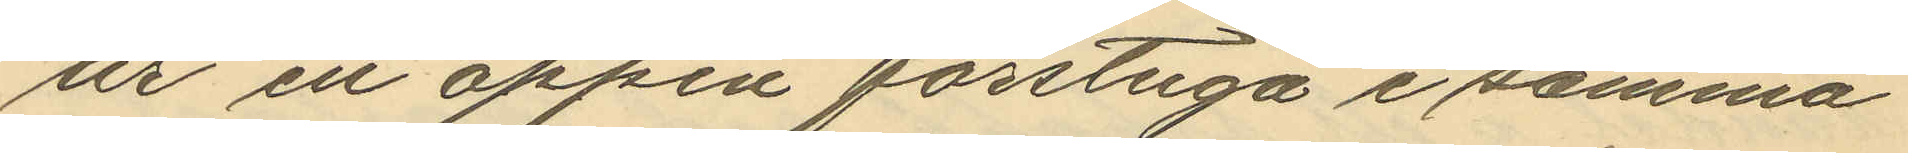ur en öppen förstuga i samma
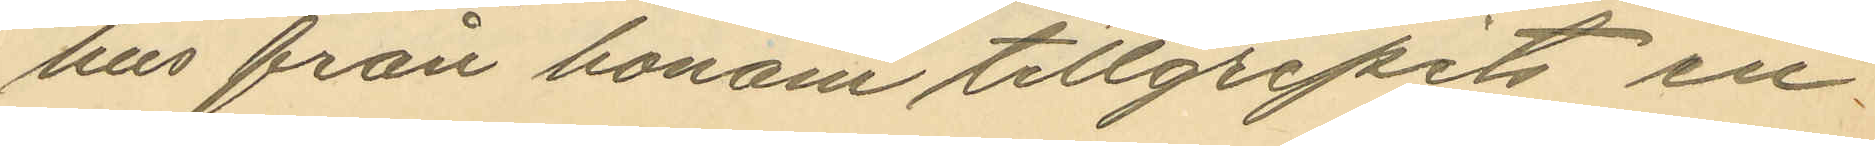hus från honom tillgripits en
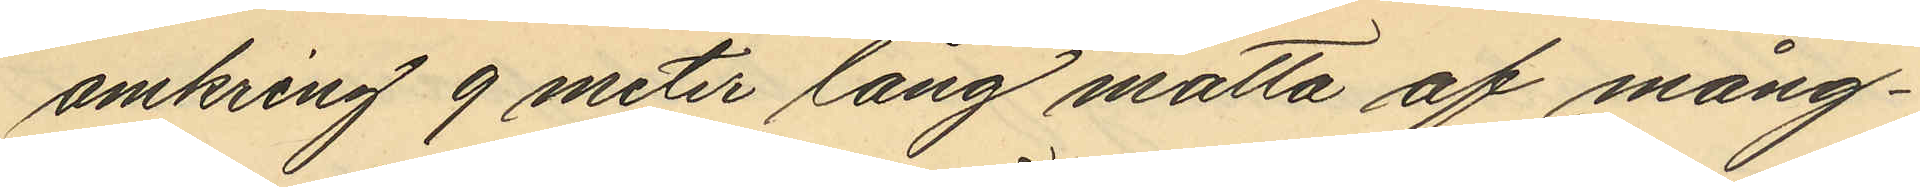omkring 9 meter lång matta af mång¬
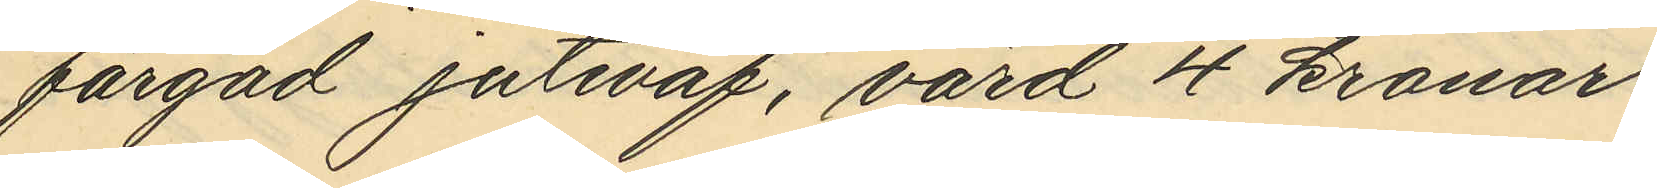färgad juteväf, värd 4 kronor.
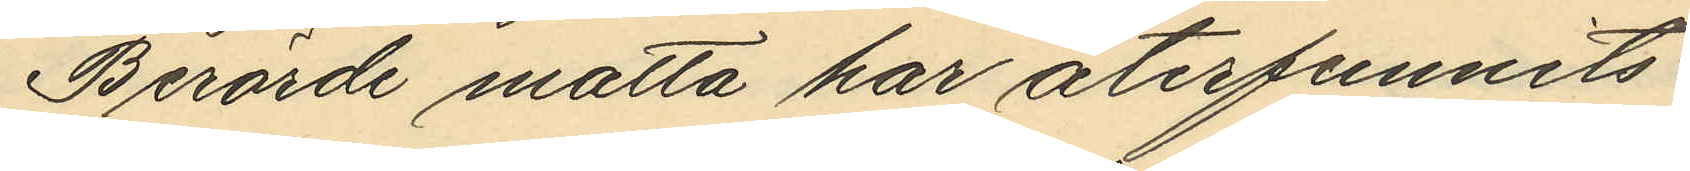Berörde måtta har återfunnits
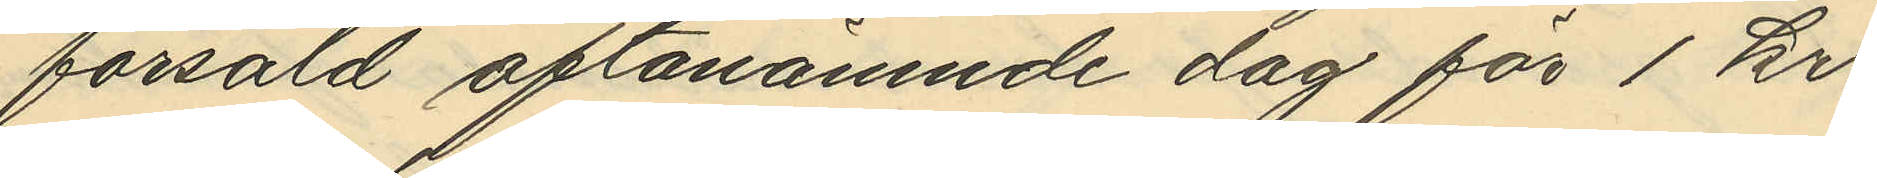försåld oftanämnde dag för 1 kr.
